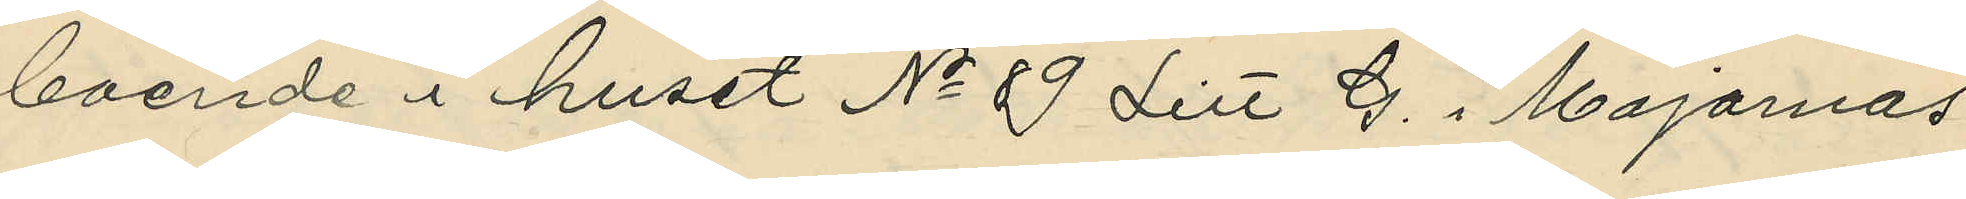boende i huset No 89 Litt G. i Majornas
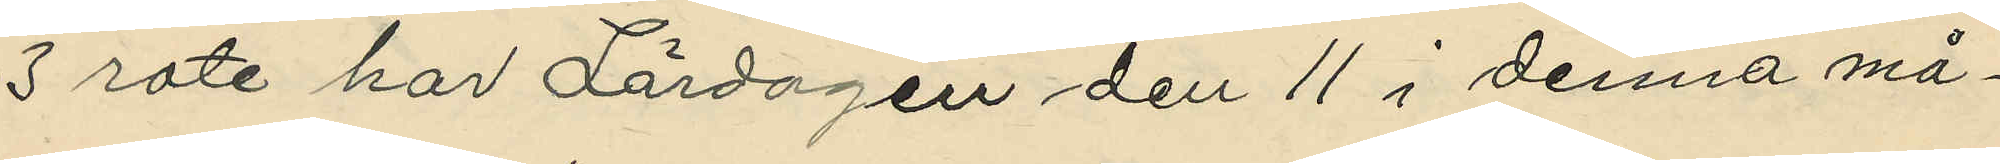3 rote har Lördagen den 11 i denna må¬
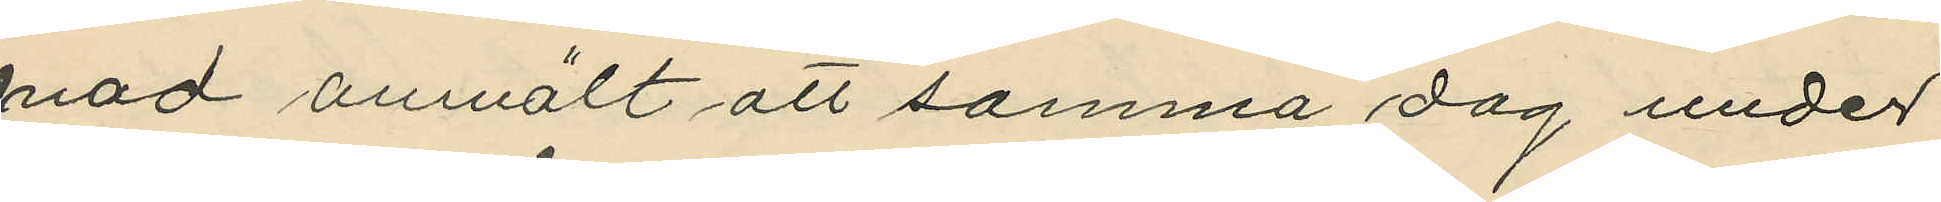nad anmält att samma dag under
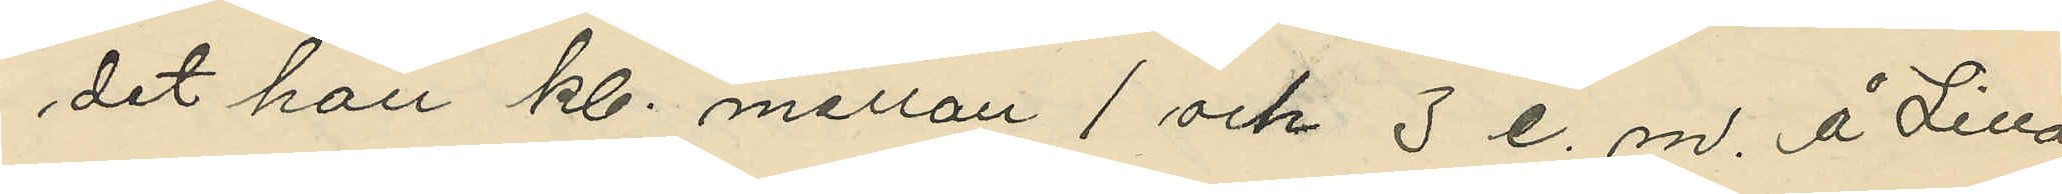det han kl. mellan 1 och 3 e. m. å Lilla
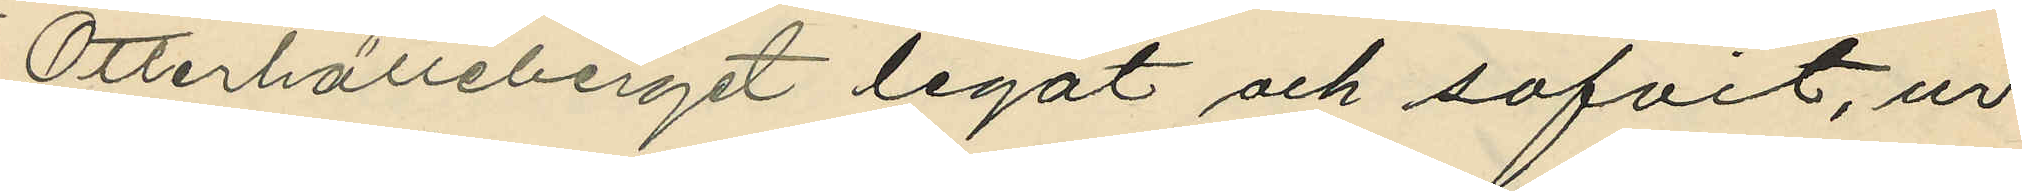Otterhälleberget legat och sofvit, ur
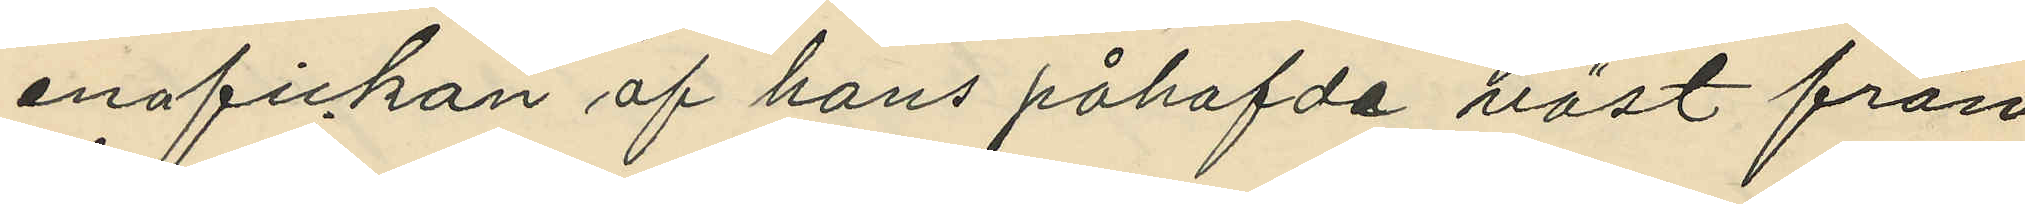ena fickan af hans påhafvde väst från
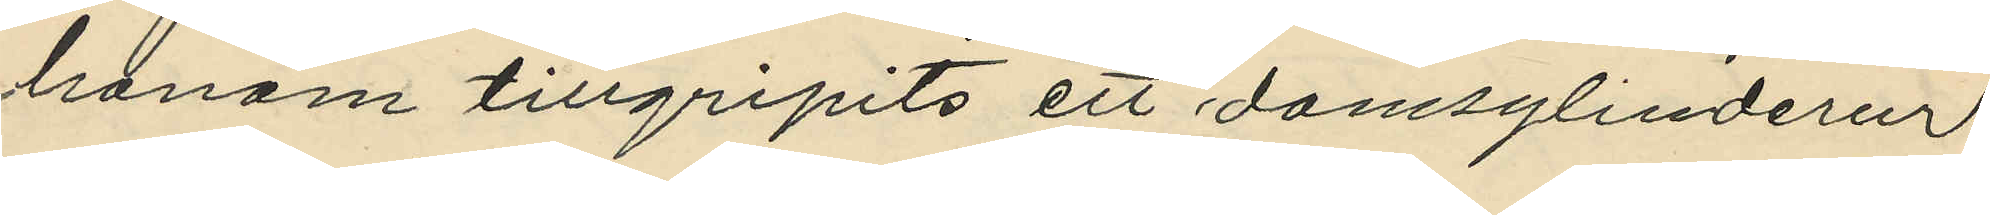honom tillgripits ett damsylinderur
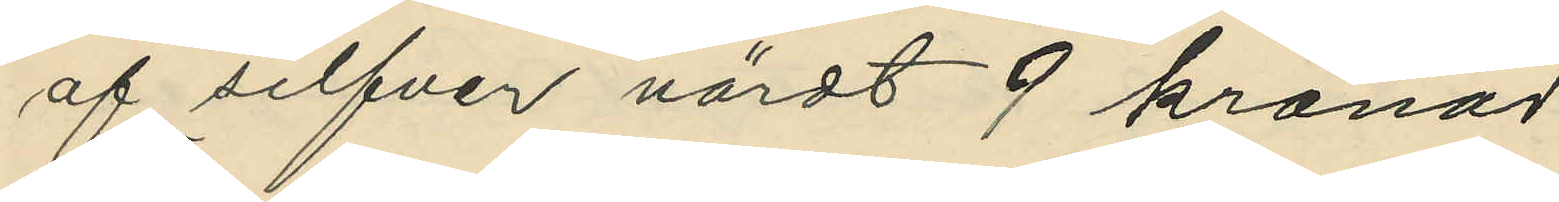af silfver värdt 9 kronor
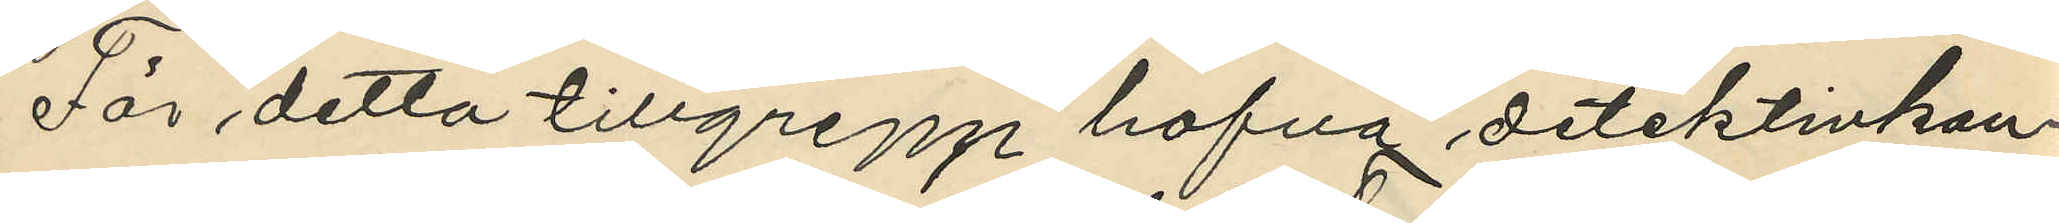För detta tillgrepp hafva detektivkon¬
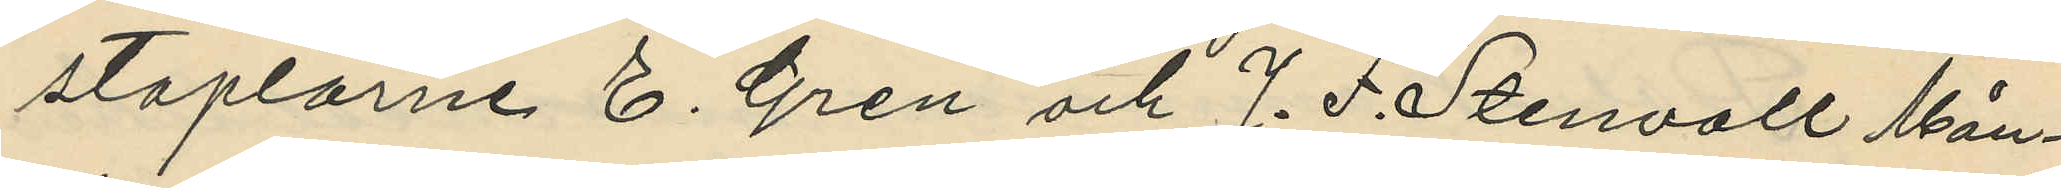staplarne E. Gren och J. F. Stenvall Mån¬
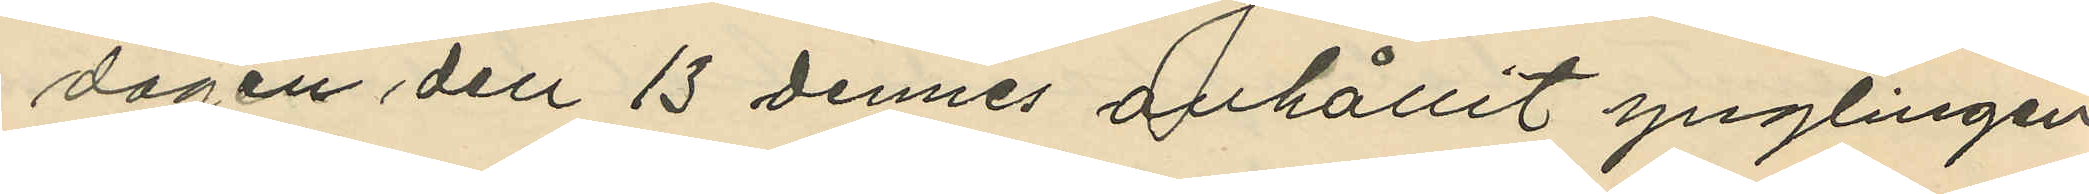dagen den 13 dennes anhållit ynglingen
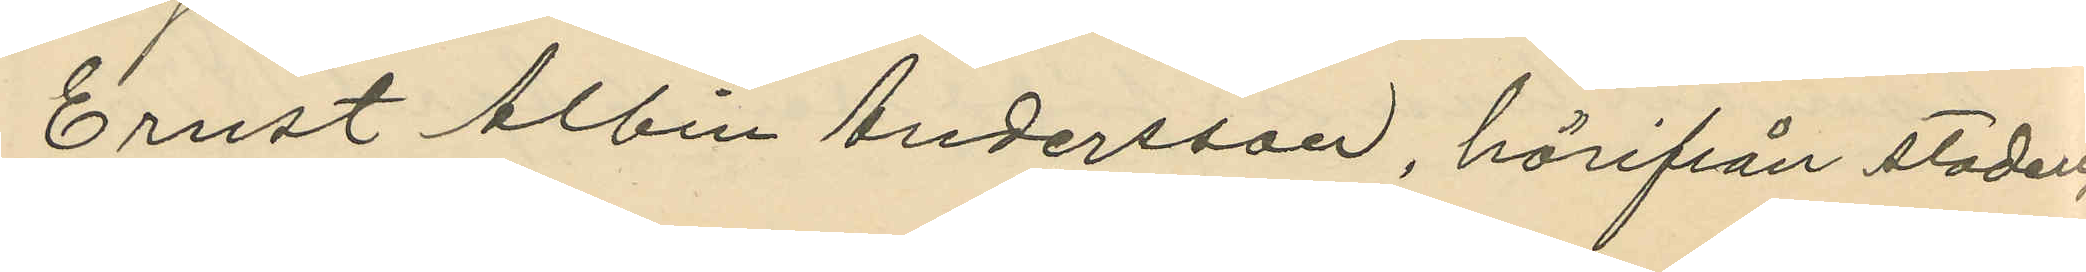Ernst Albin Andersson, härifrån staden,
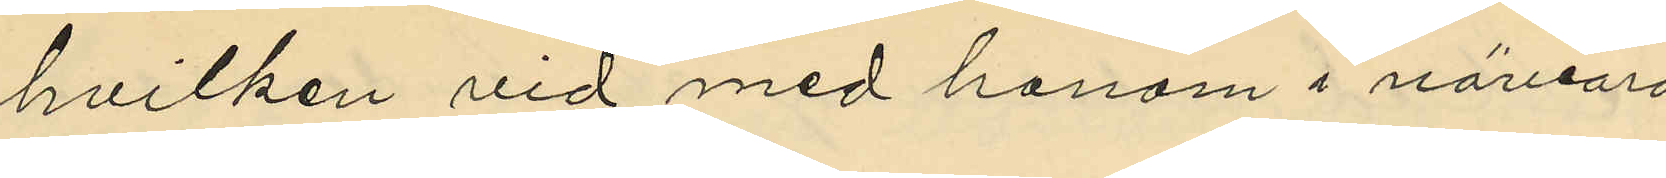hvilken vid med honom i närvaro
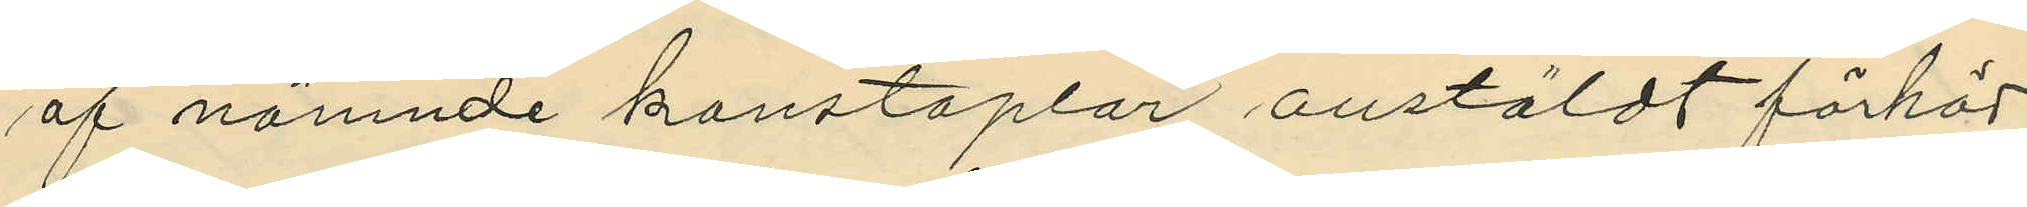af nämnde konstaplar anstäldt förhör
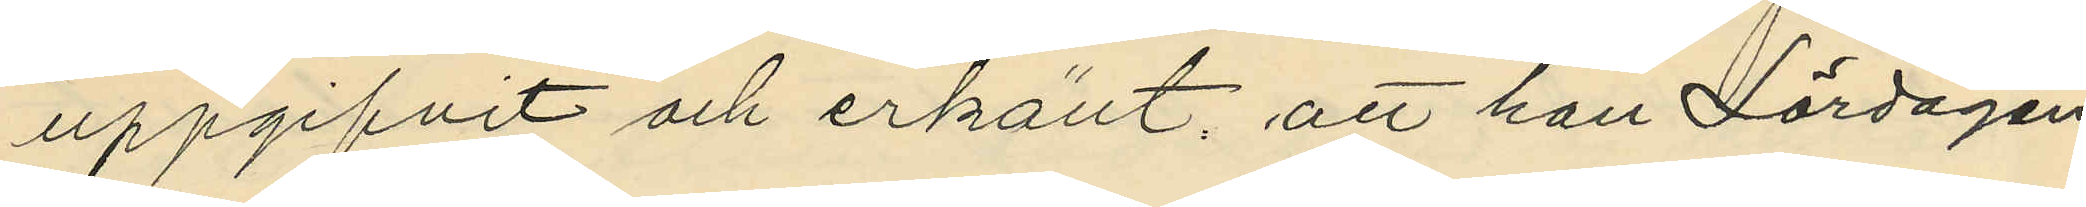uppgifvit och erkänt, att han Lördagen
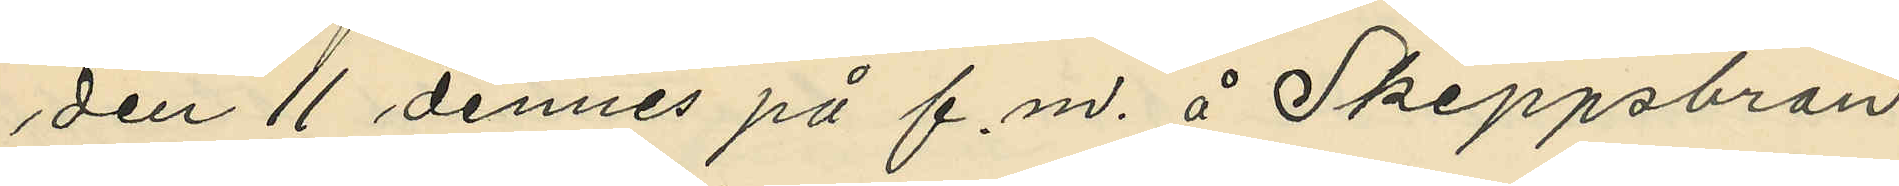den 11 dennes på f.m. å Skeppsbron
